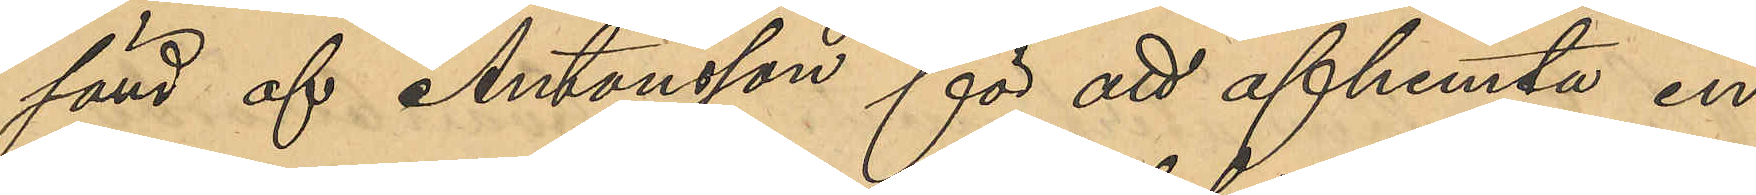sänd af Antonsson för att afhemta en
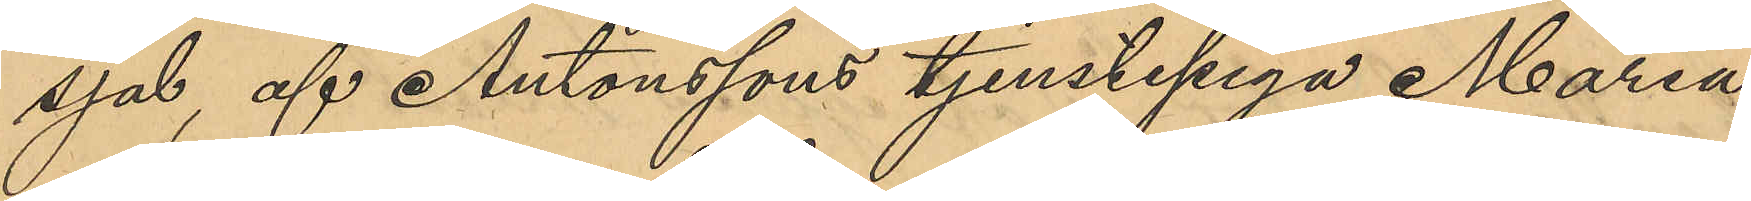sjal, af Antonssons tjenstepiga Maria
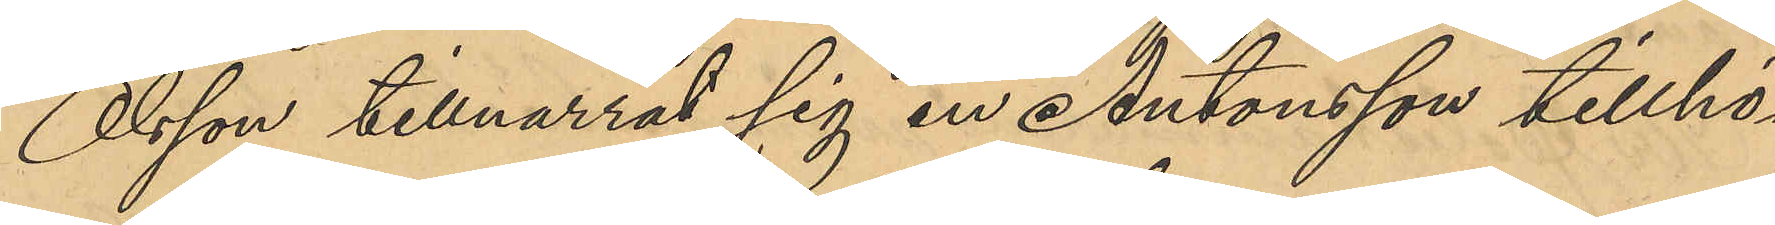Olsson tillnarrat sig en Antonsson tillhör¬
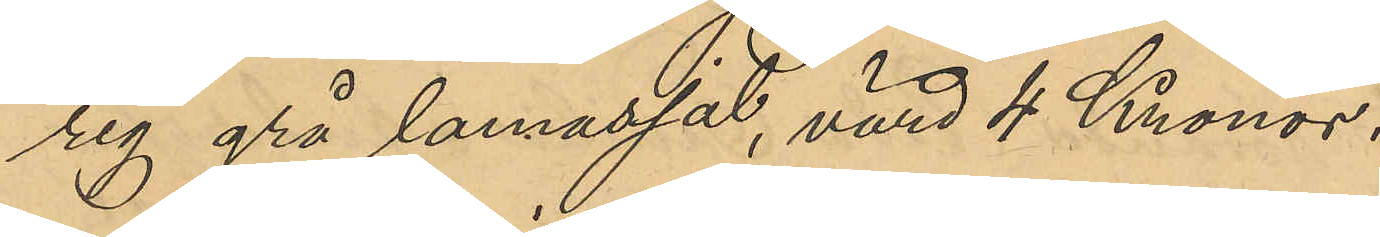rig grå lamasjal, värd 4 Kronor.
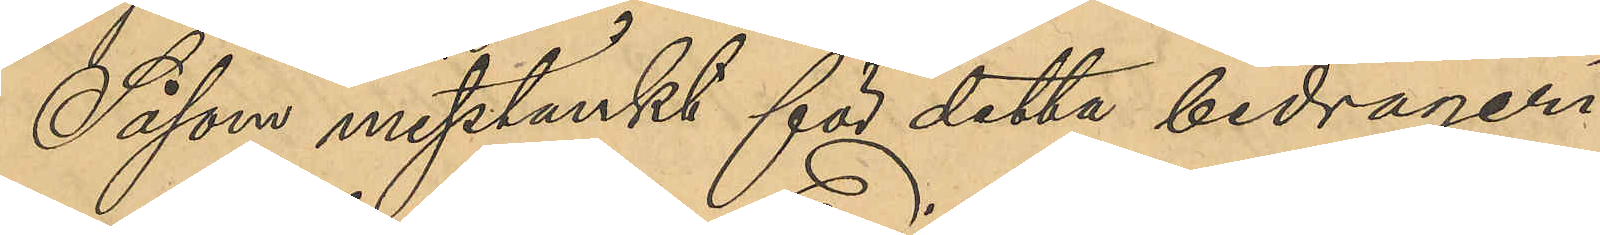Såsom misstänkt för detta bedrägeri
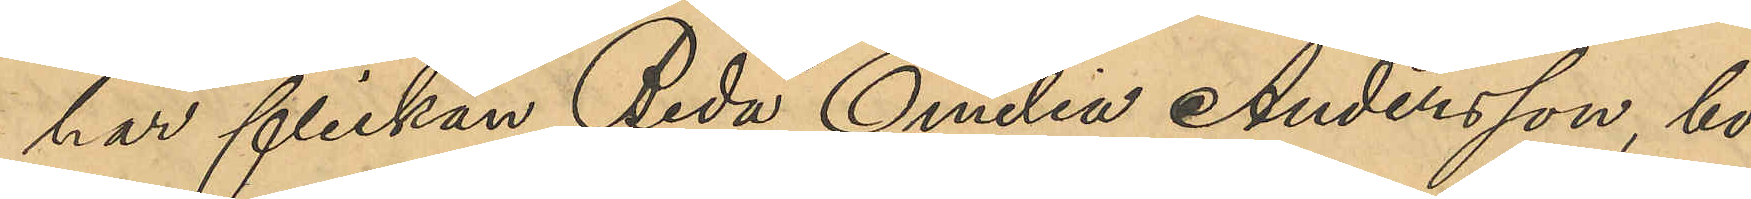har flickan Beda Emilia Andersson, bo¬
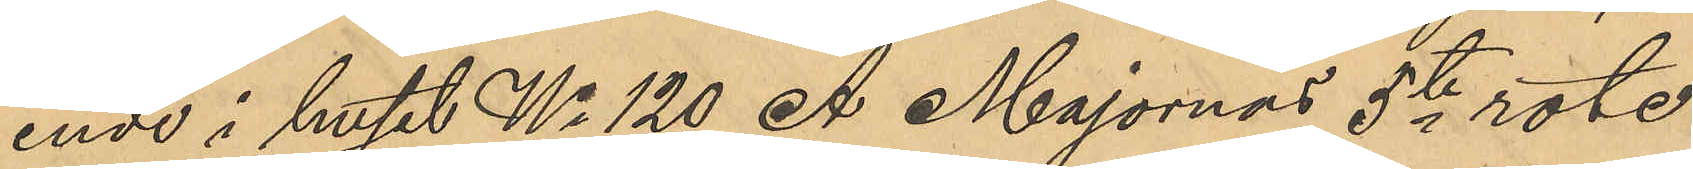ende i huset No 120 A Majornas 5te rote
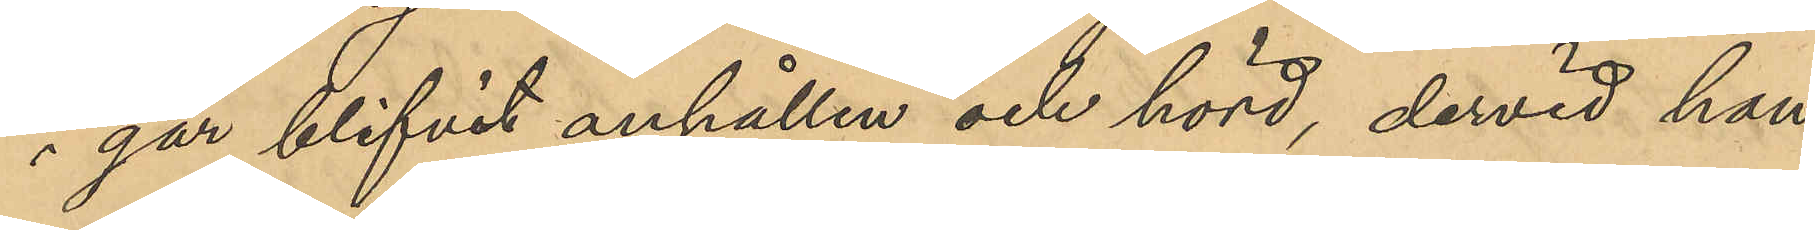i går blifvit anhållen och hörd, dervid hon
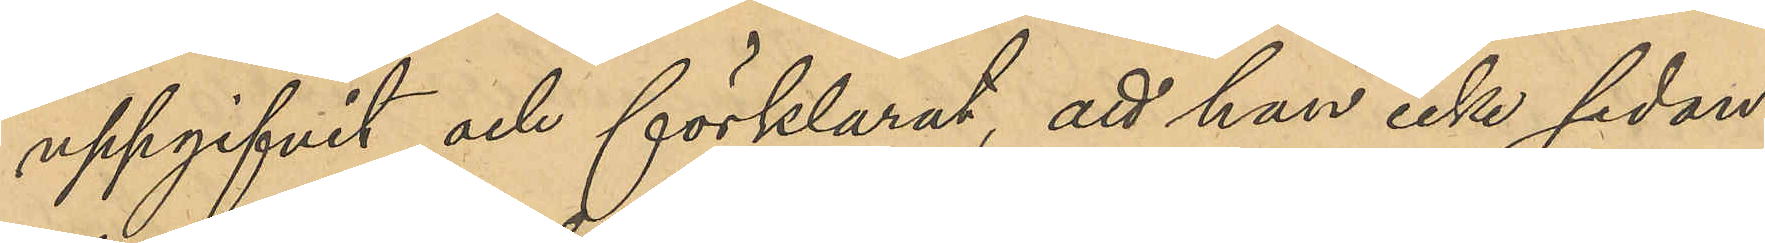uppgifvit och förklarat, att hon icke sedan
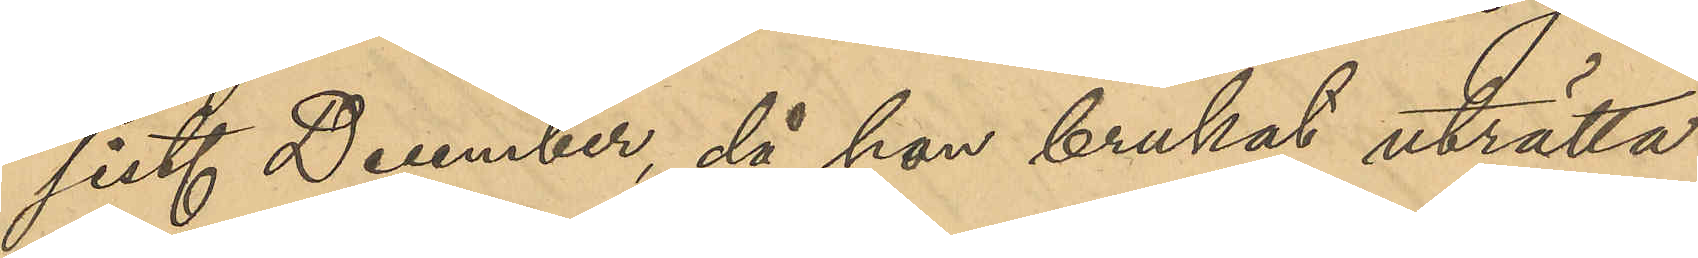sist. December, då hon brukat uträtta
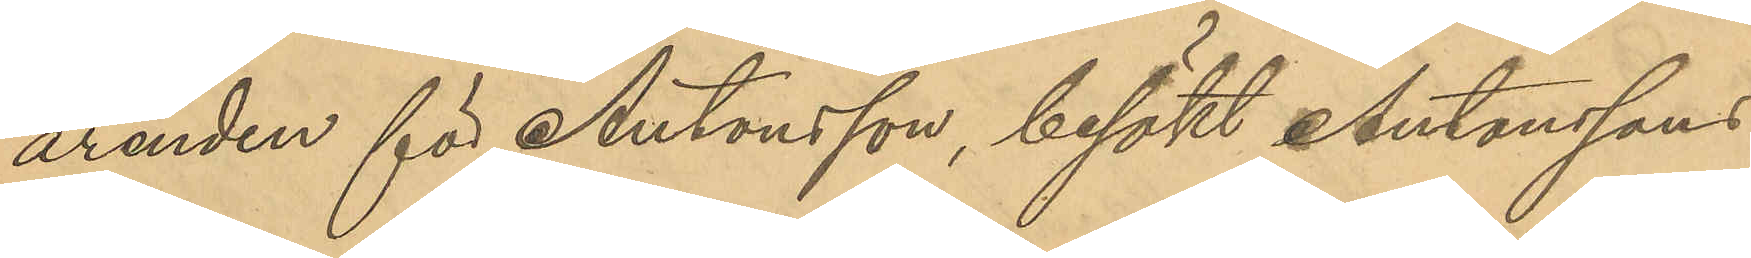ärenden för Antonsson, besökt Antonssons
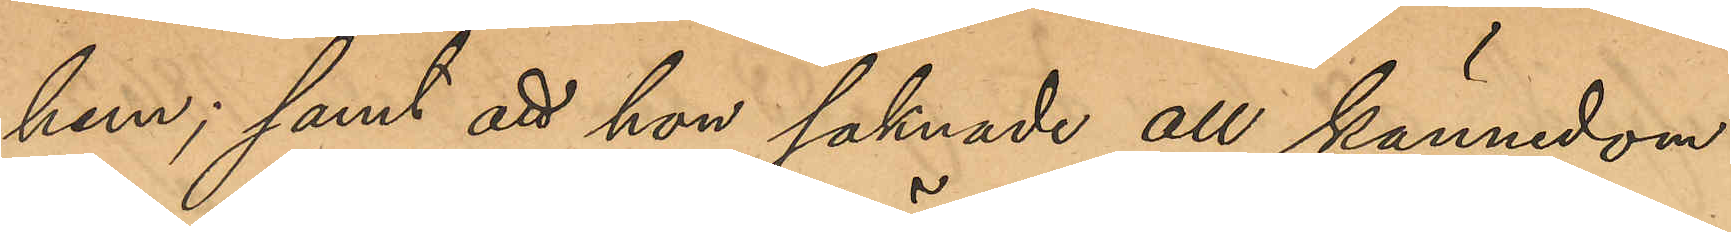hem; samt att hon saknade all kännedom
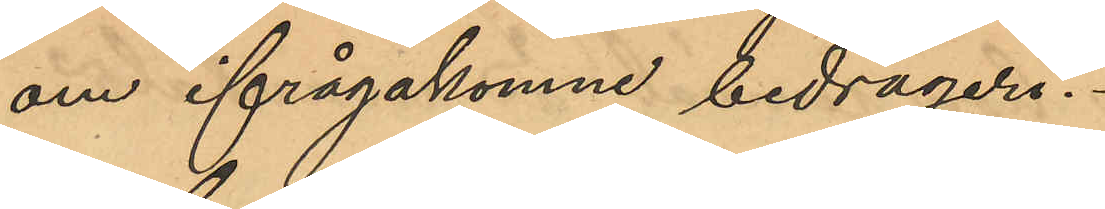om ifrågakomne bedrägeri.
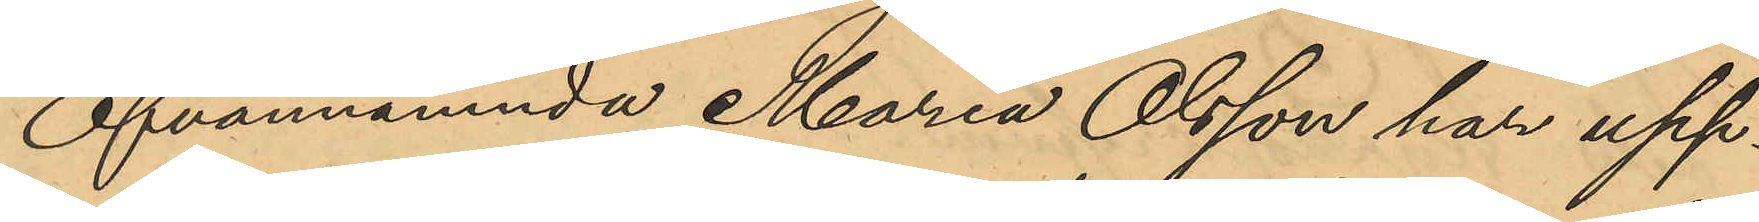Ofvannämnda Maria Olsson har upp¬
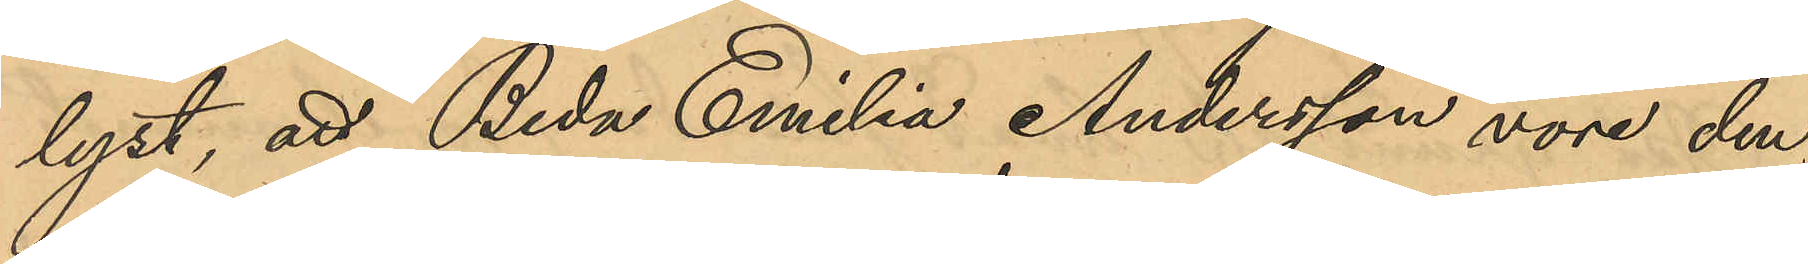lyst, att Beda Emilia Andersson vore den,
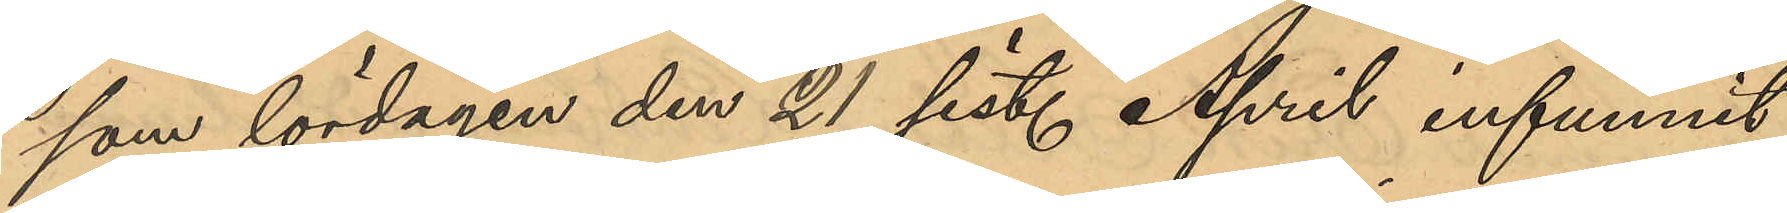som lördagen den 21 sist. April infunnit
